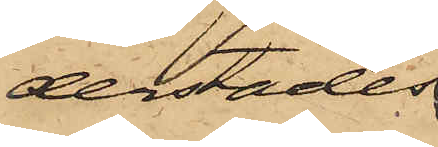derstädes
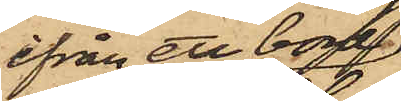ifrån ett bord
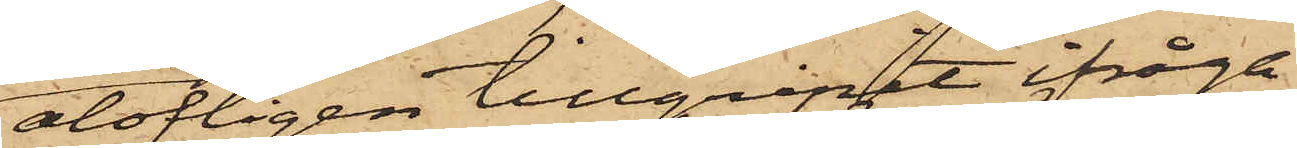olofligen tillgripit ifråga¬
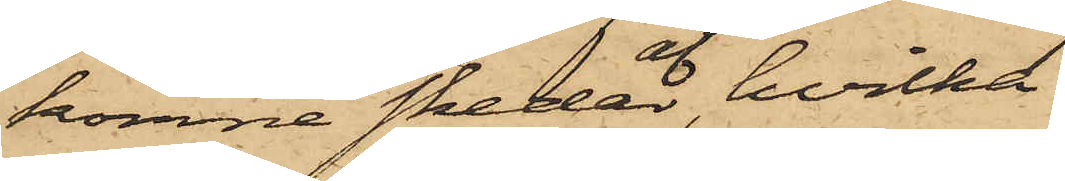komne skedar, af hvilka
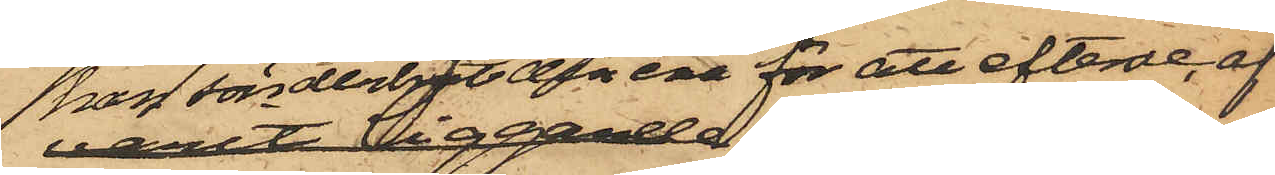han sönderbröt den ena för att efterse,af
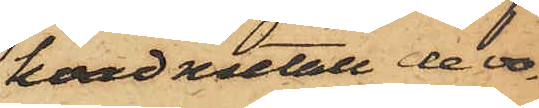hvad metall de vo¬
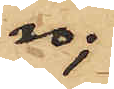ro;
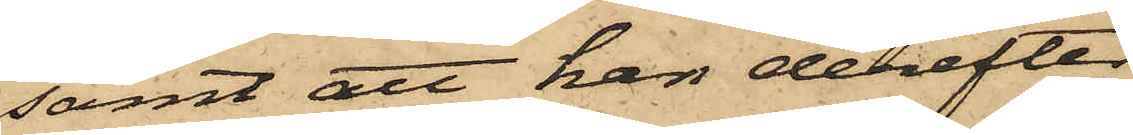samt att han derefter
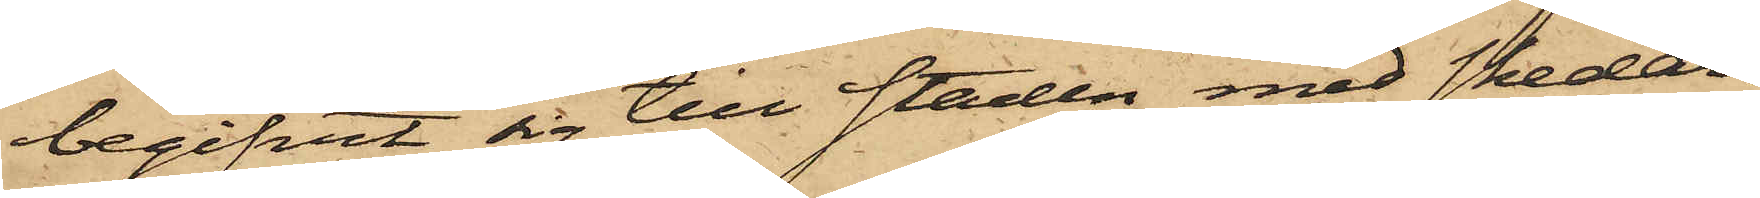begifvit sig till staden med skedar¬
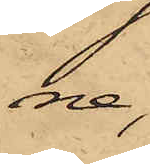ne
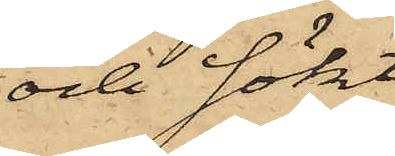och sökt
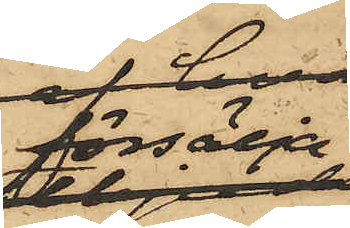försälja
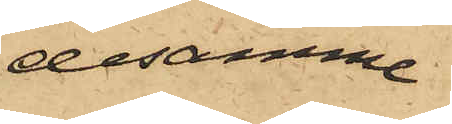desamma
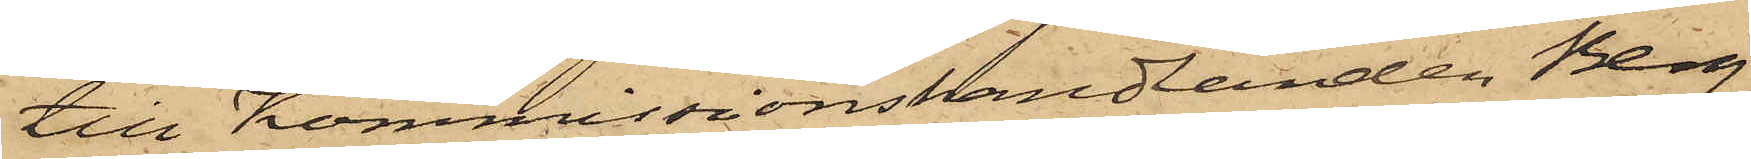till Kommissionshandlanden Berg,
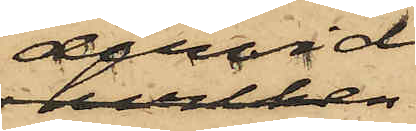dervid
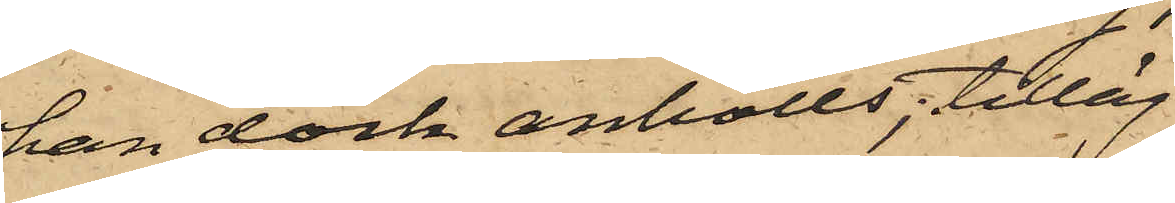han dock anhölls; tilläg¬
